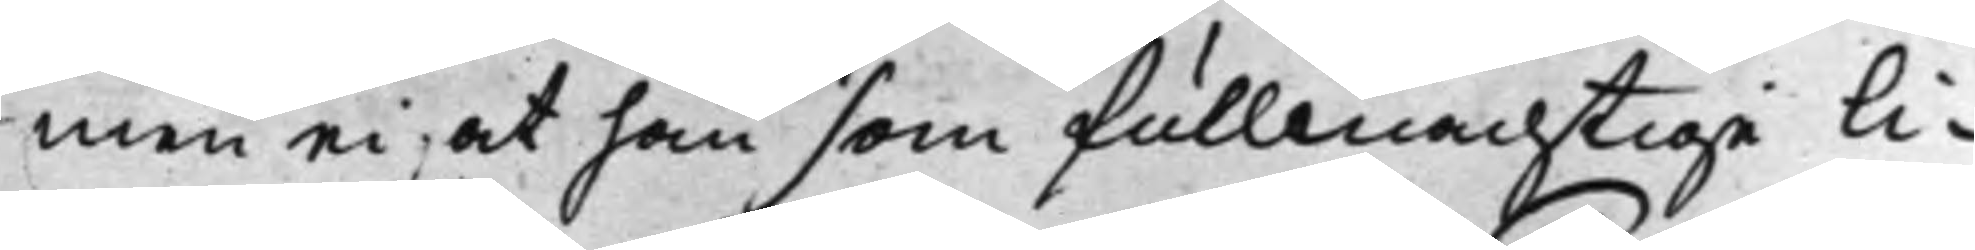men ei, at han som fullmachtige li¬
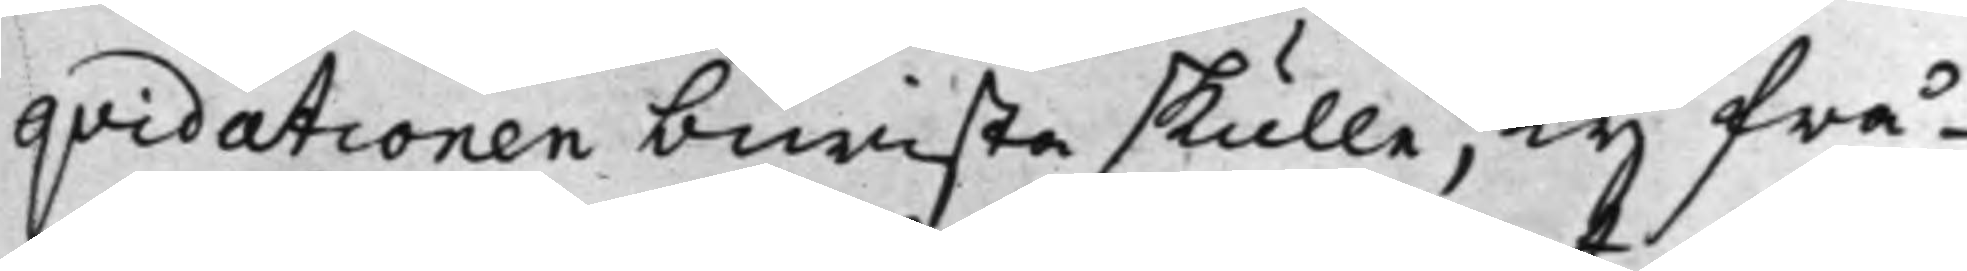qvidationen biwista skulle; Ty frå¬
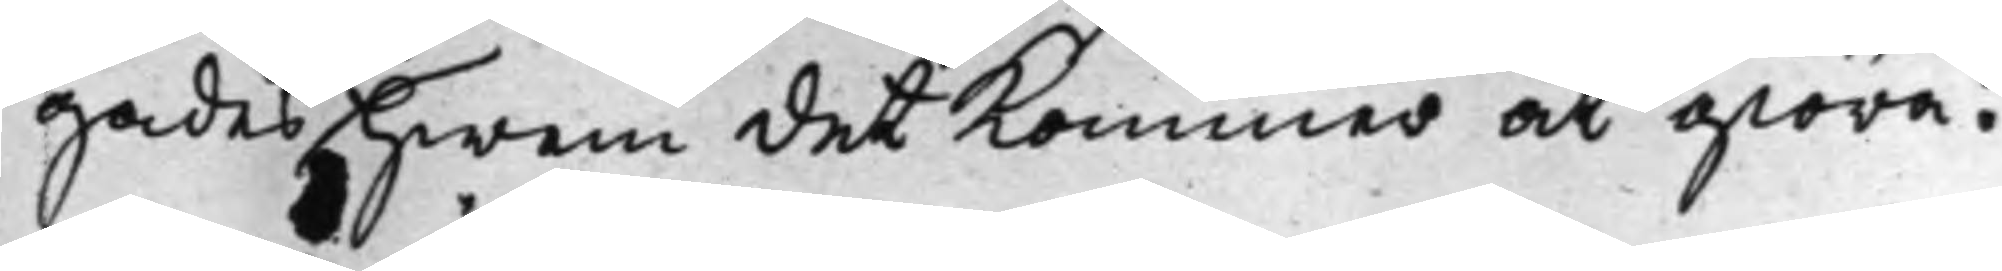gades hwem det Kommer at giöra?
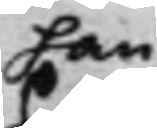han
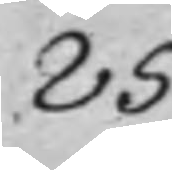85
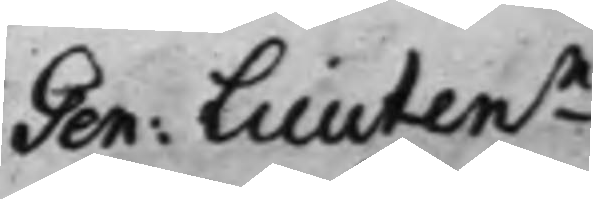Gen: Lieutenn
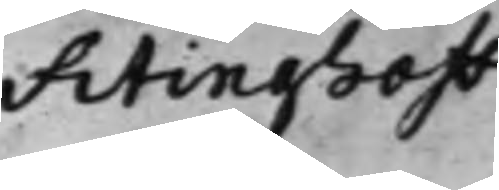Fitinghoff
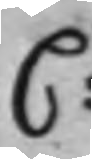C:
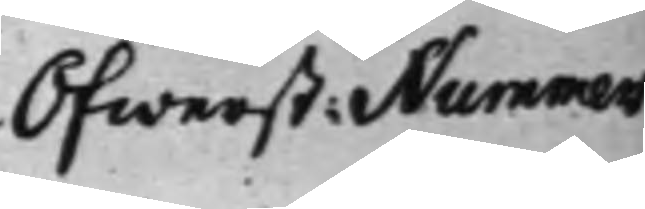Öfwerst: Nummers
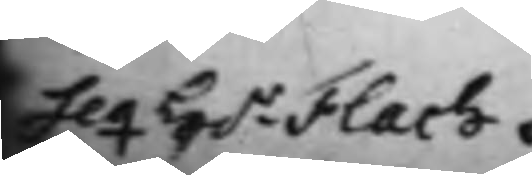Seq H.r Flach.
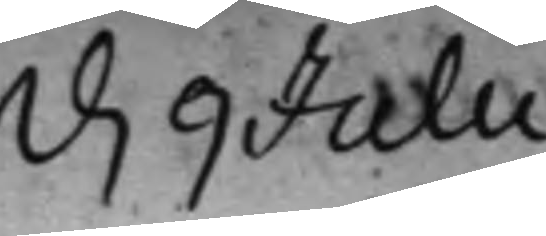d. 9 Julii
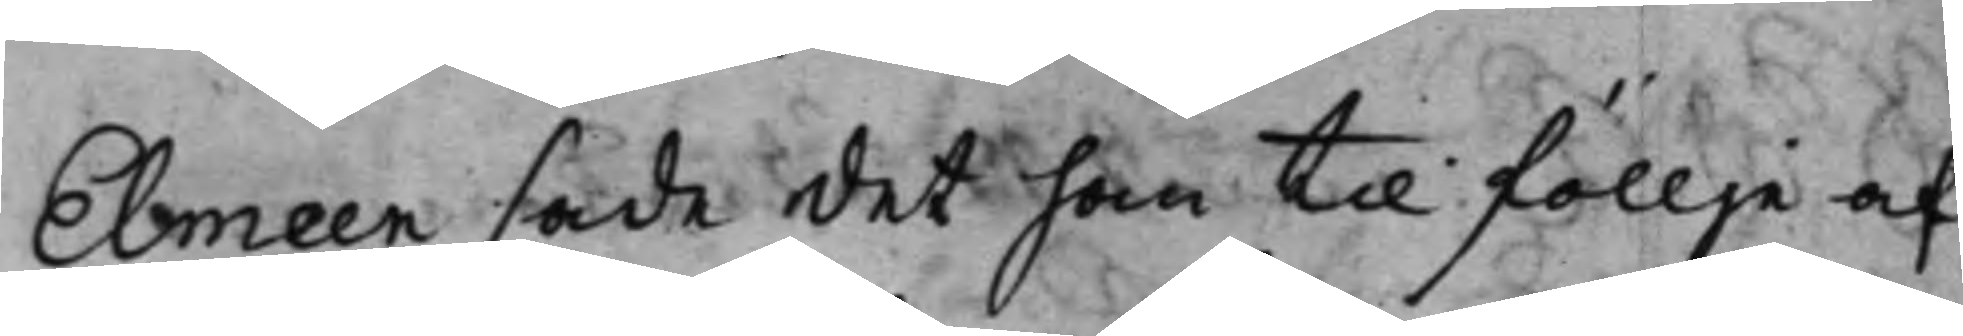Elmeen sade det han til föllje af
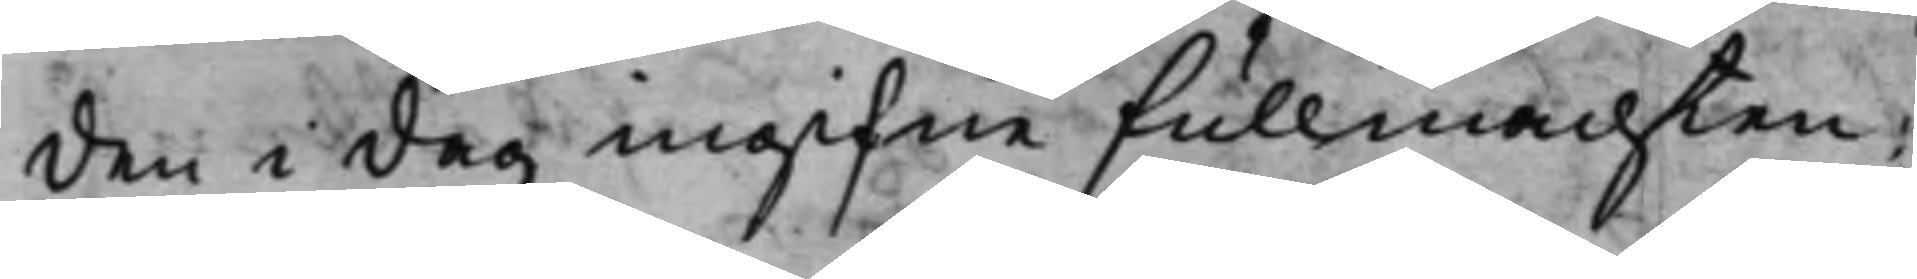den i dag ingifne fullmachten;
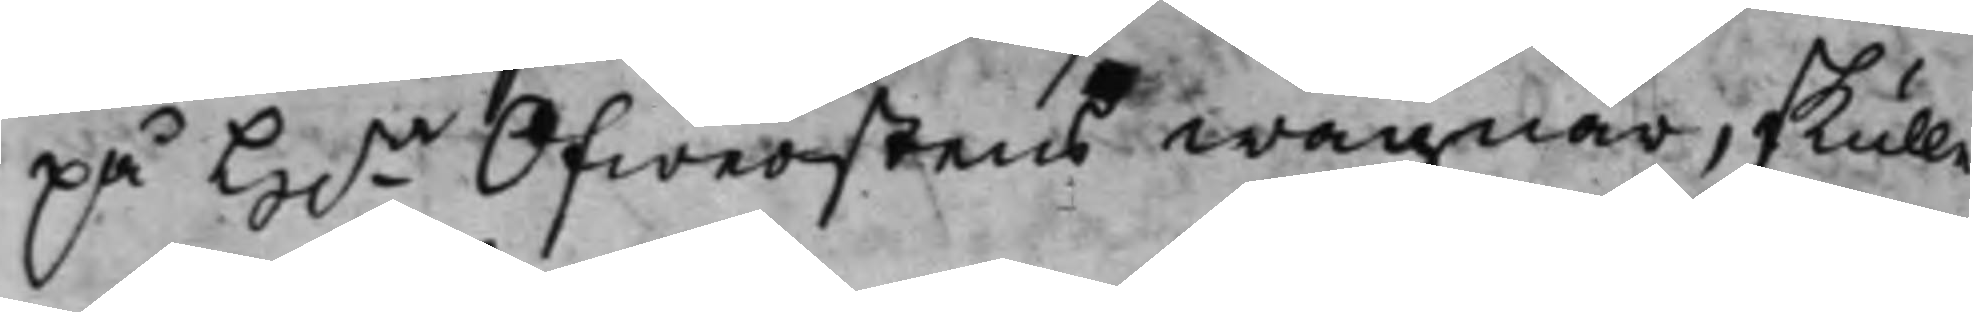på H.r Öfwerstens wägnar, skulle
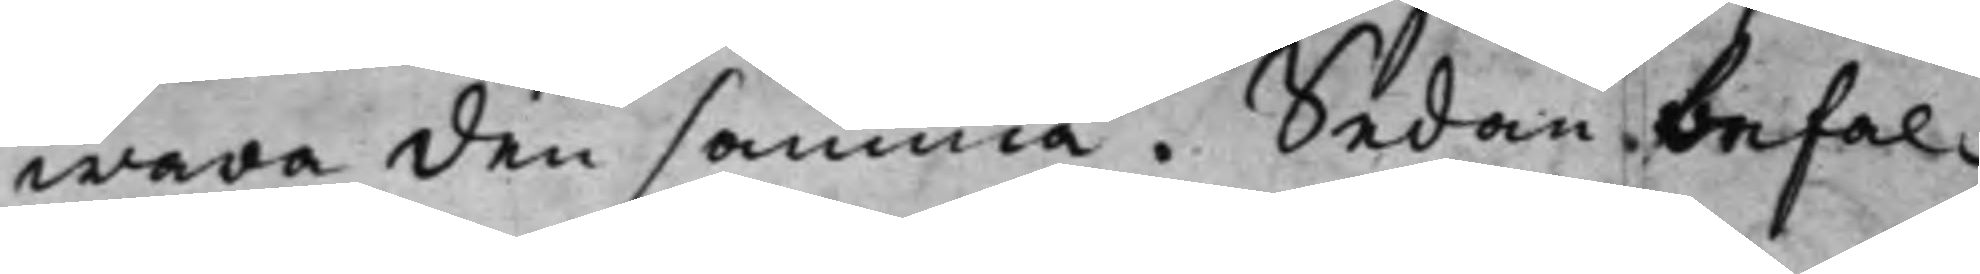wara den samma. Sedan befal¬
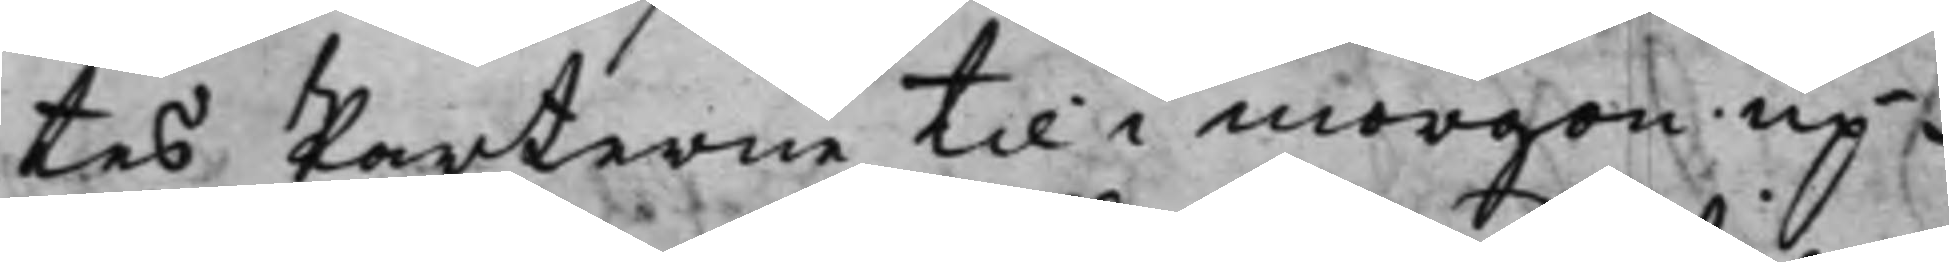tes Parterne til i morgon up¬
